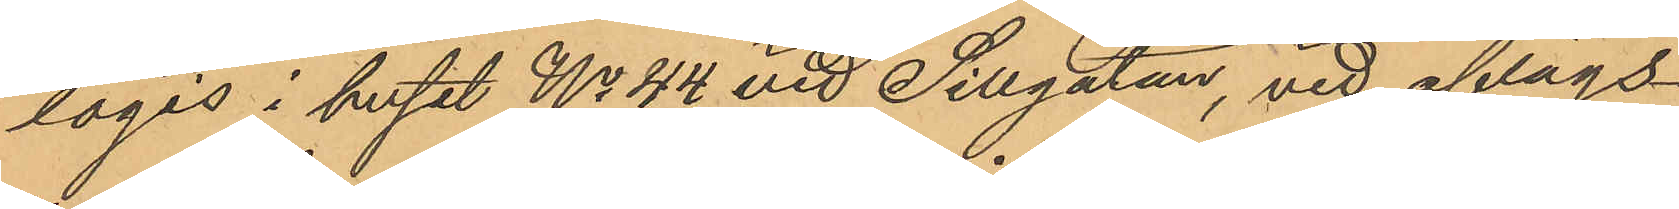logis i huset No 44 vid Sillgatan, vid aflägs¬
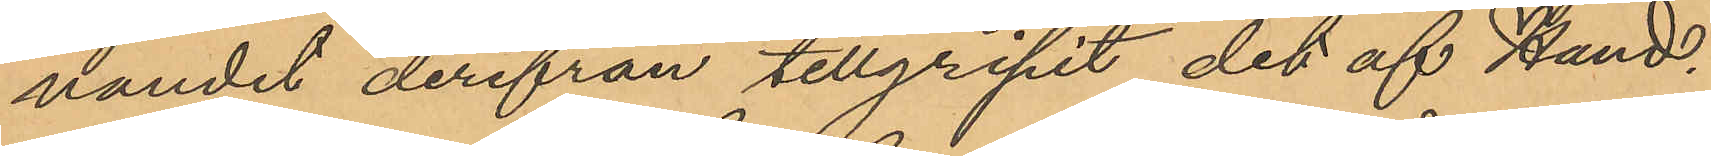nandet derifrån tillgripit det af Hand¬
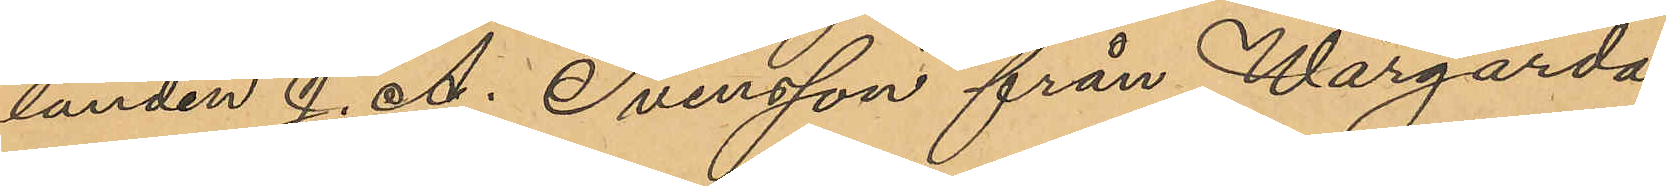landen J. A. Svensson från Wårgårda
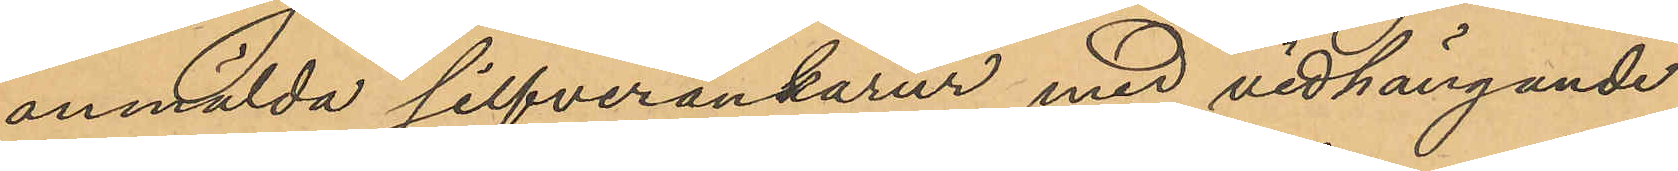anmälda silfverankarur med vidhängande
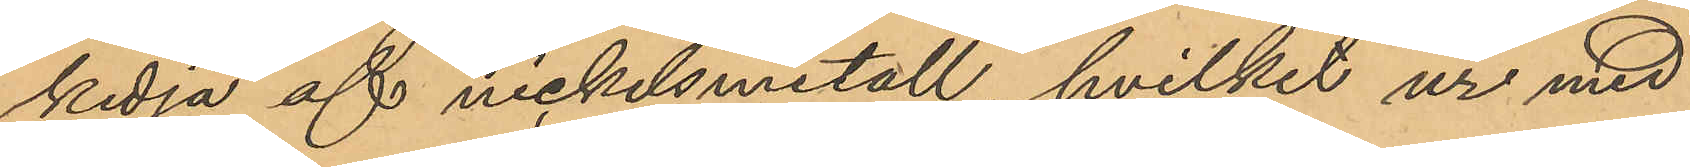kedja af nickelsmetall, hvilket ur med
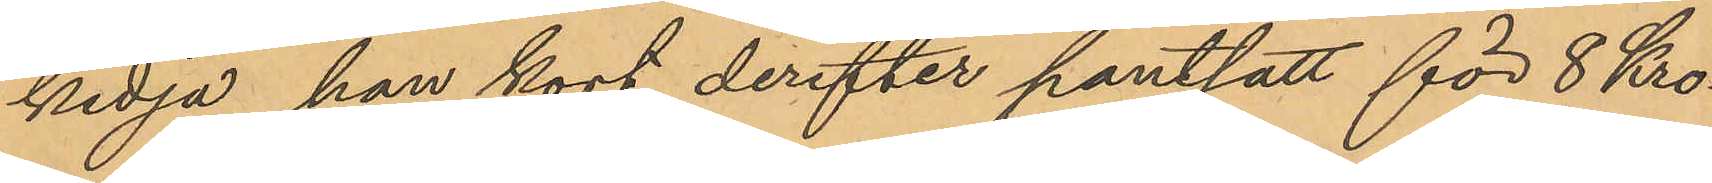kedja han kort derefter pantsatt för 8 Kro¬
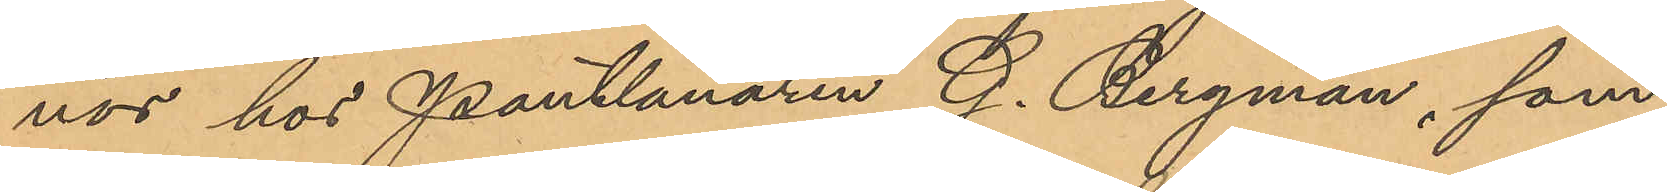nor hos Pantlånaren G. Bergman, som
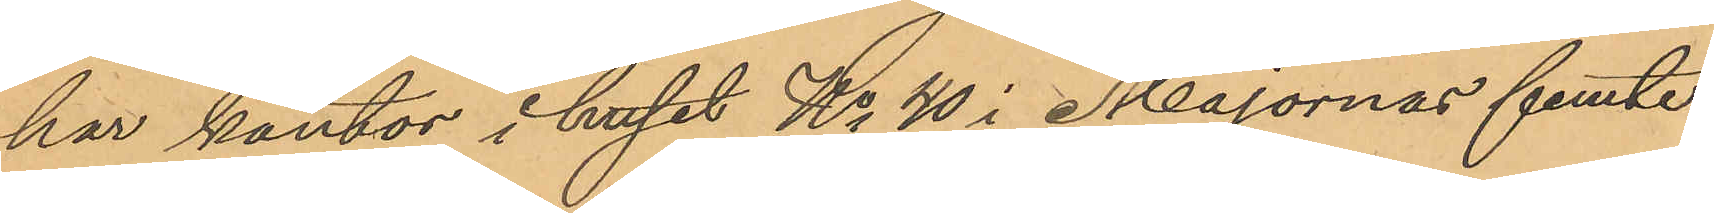har kontor i huset No 40 i Majornas femte
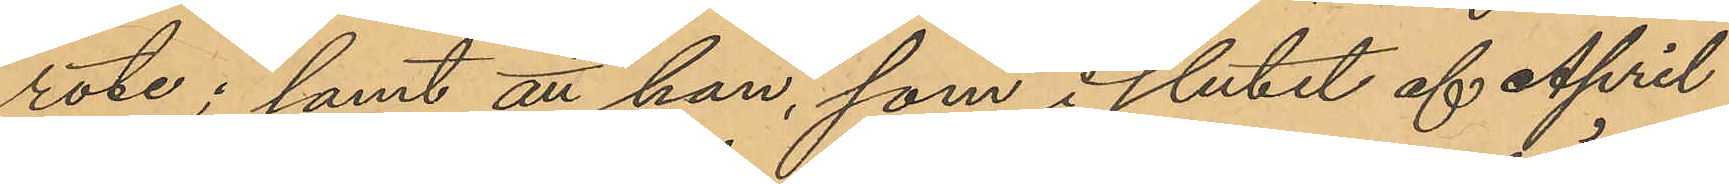rote; samt att han, som i slutet af April
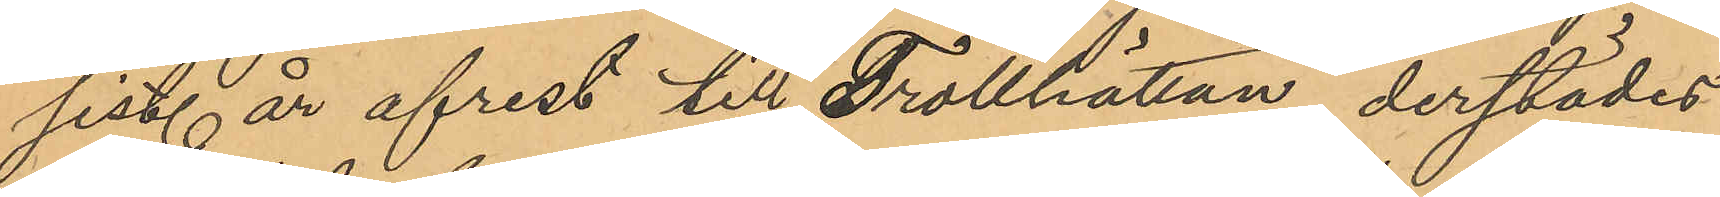sist. år afrest till Trollhätlan, derstädes
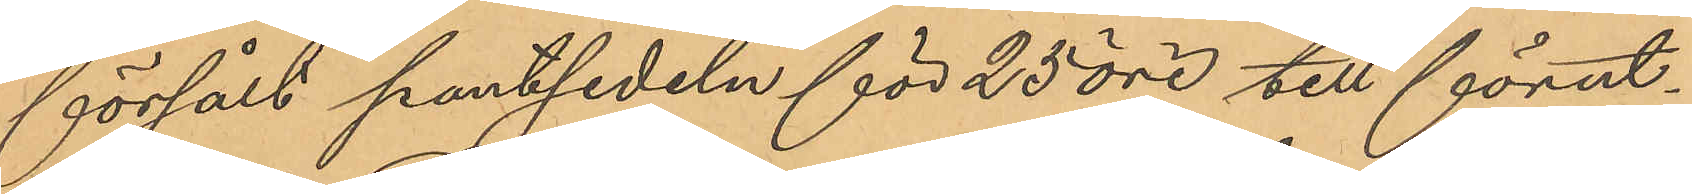försålt pantsedeln för 25 öre till förut¬
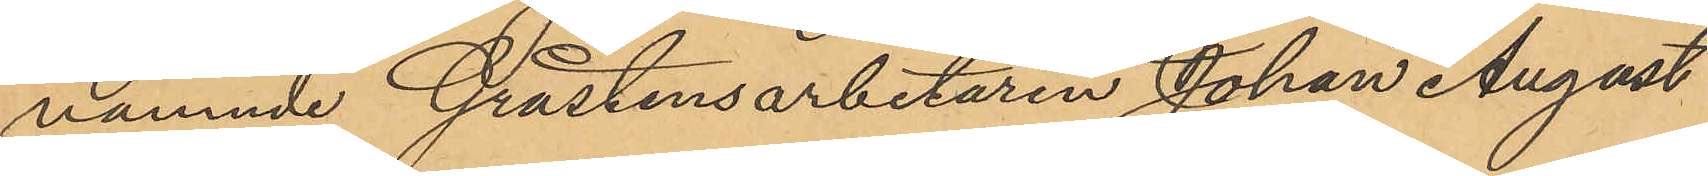nämnde Gråstensarbetaren Johan August
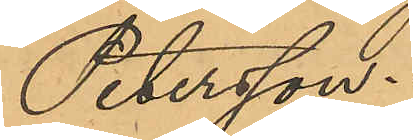Petersson.
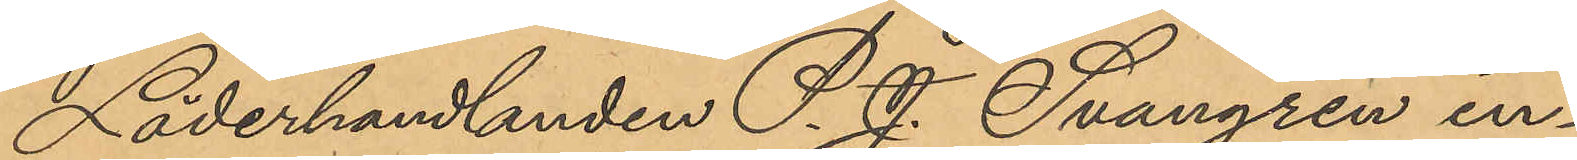Läderhandlanden P. J. Svangren in¬
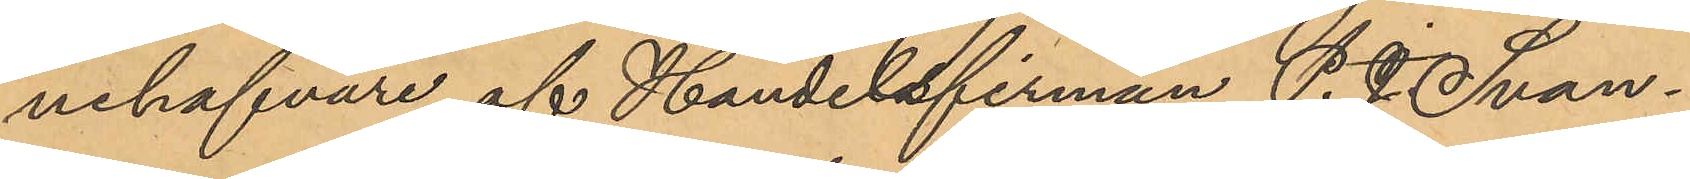nehafvare af Handelsfirman P. J. Svan¬
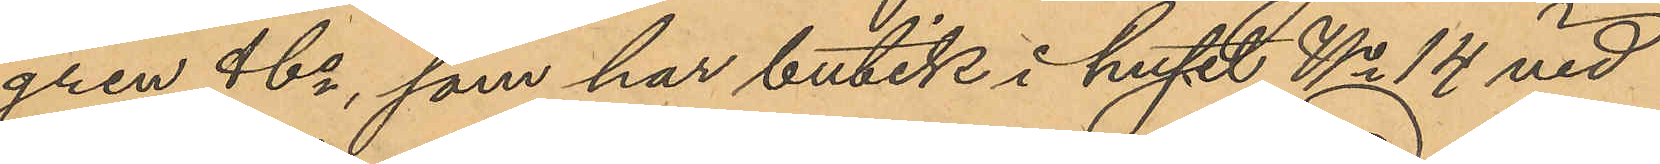gren & Co, som har butik i huset No 14 vid
